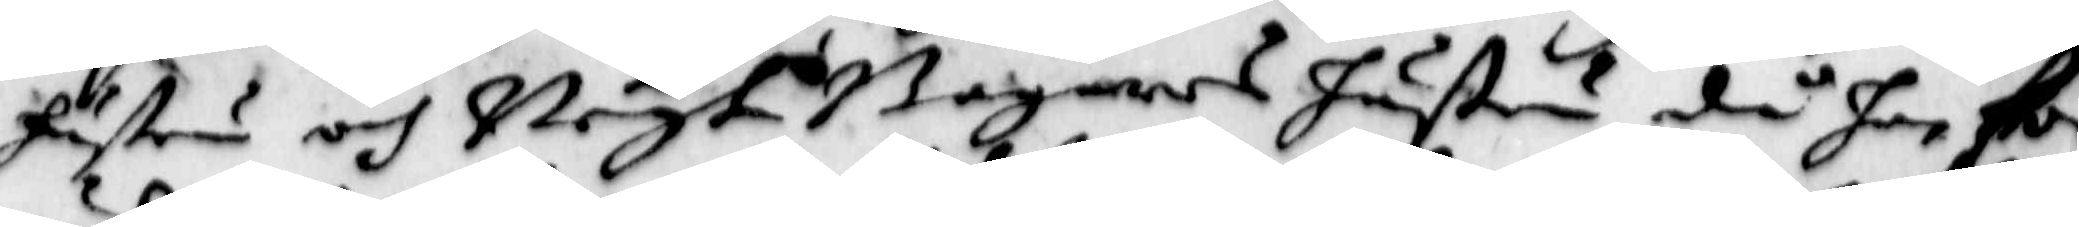hustru och Begt Bagarens hustru, då har för¬
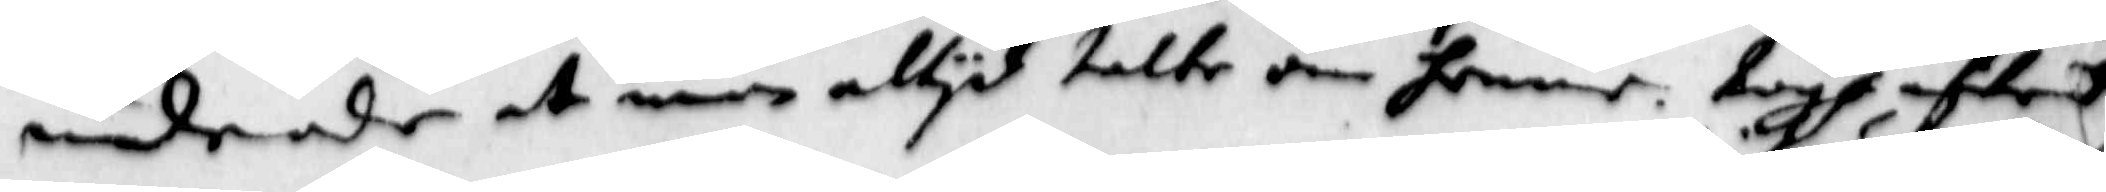undrade at man altyd talte om henne. togh aftrede
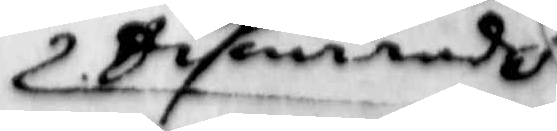Sifuerades
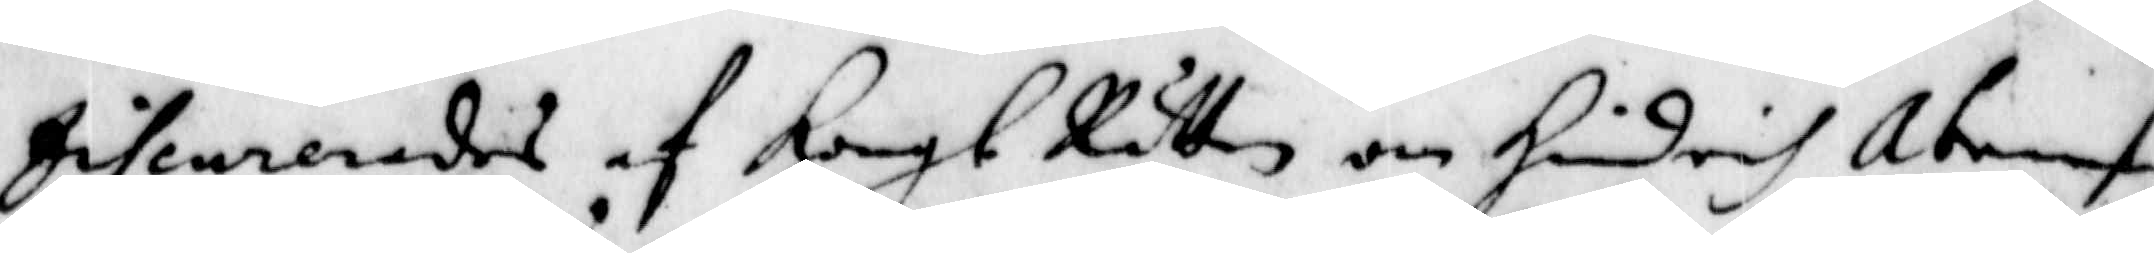Jiswelerades af Kongl Rätten om Hindrich Abramson
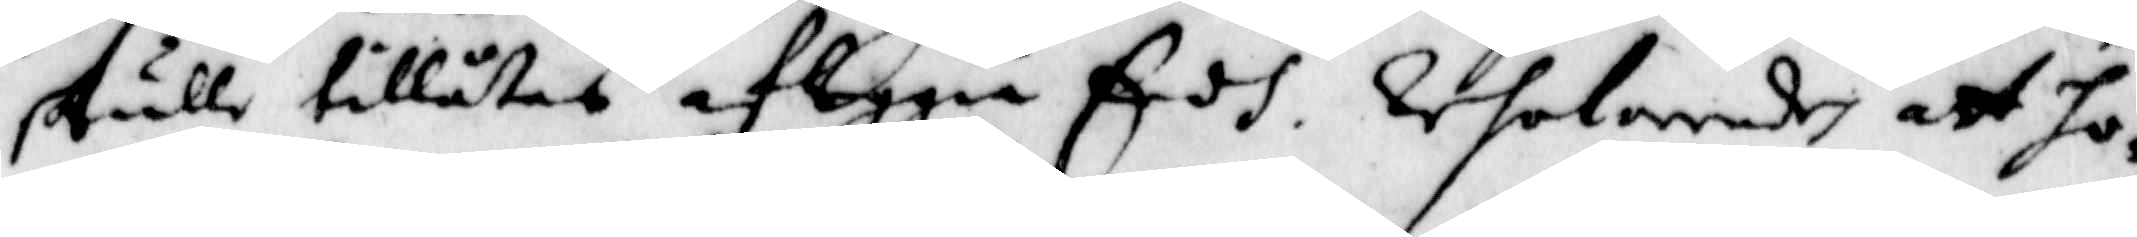skulle tillåtas af leggia Eedh. Resolverades att ho¬
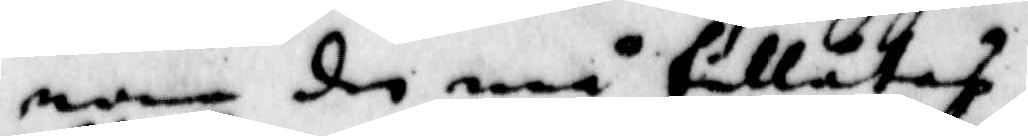nom de må tillåtas.
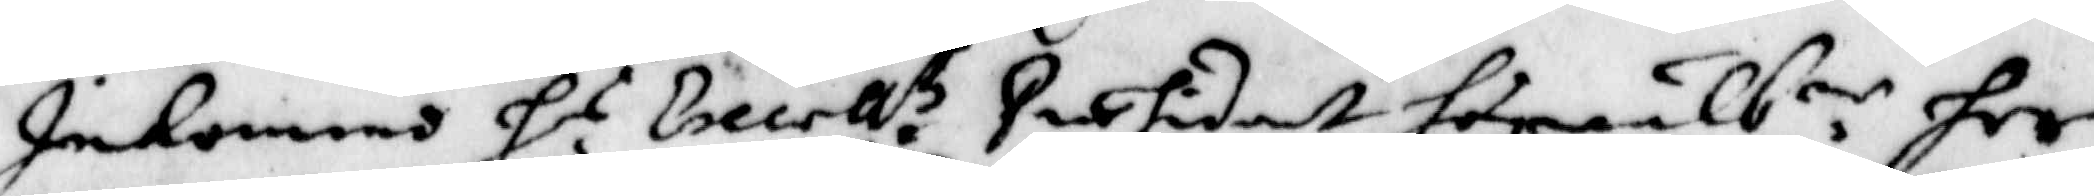Inkommo H.r Excell.s Præsident högwälb.ne her
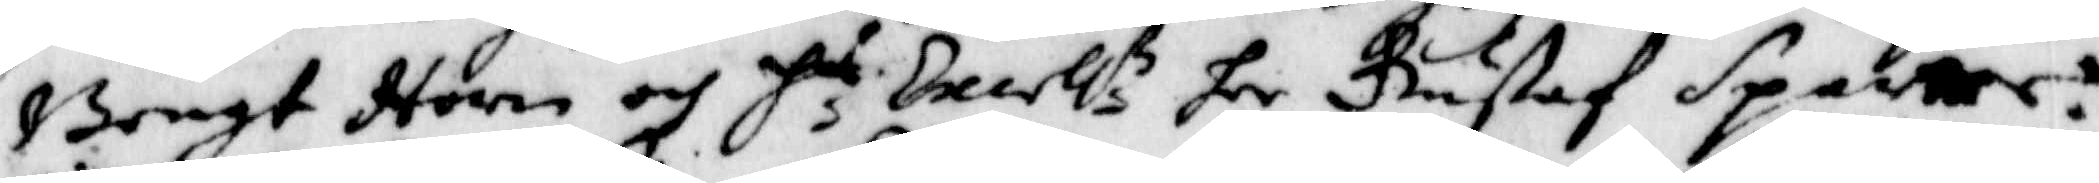Bengt Horn och H.r Excell.s her Gustaf Sparre.
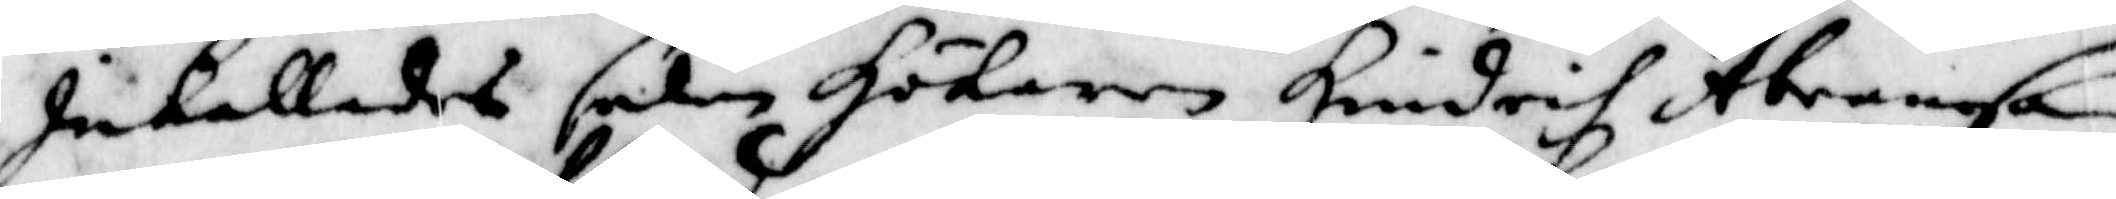Inkallades sedan Hökaren Hindrich Abramson
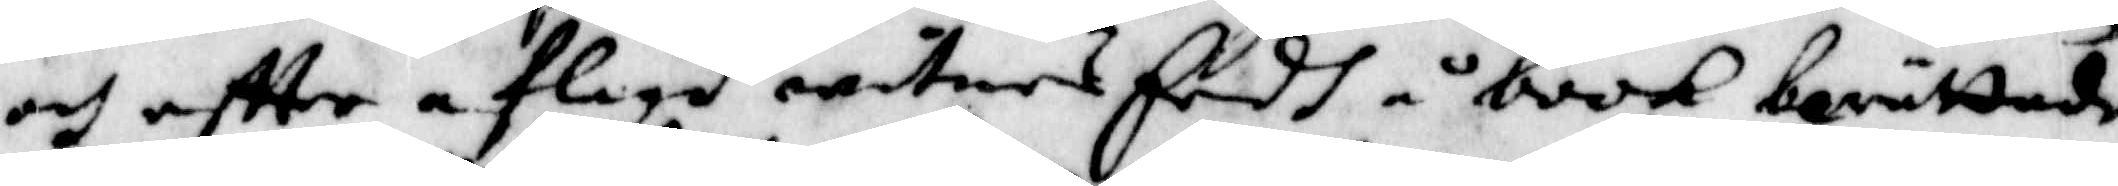och eftter aflagd witnes Eedh å book berättade
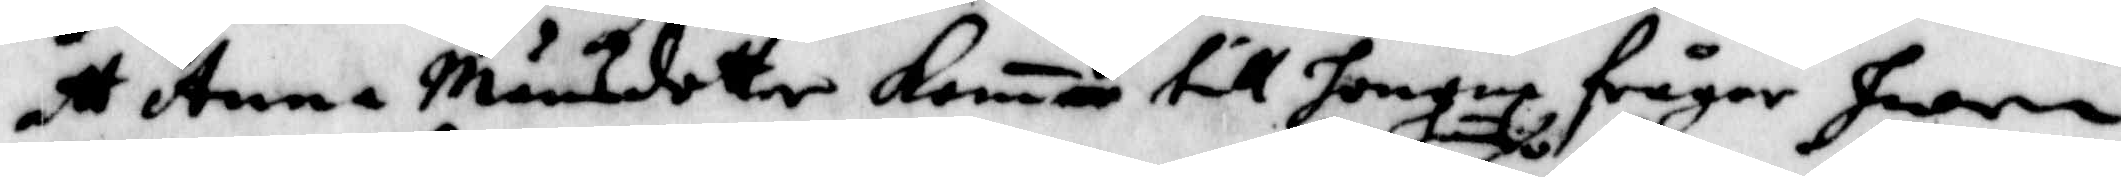att Anna Månsdotter komer till honom frågar hwem
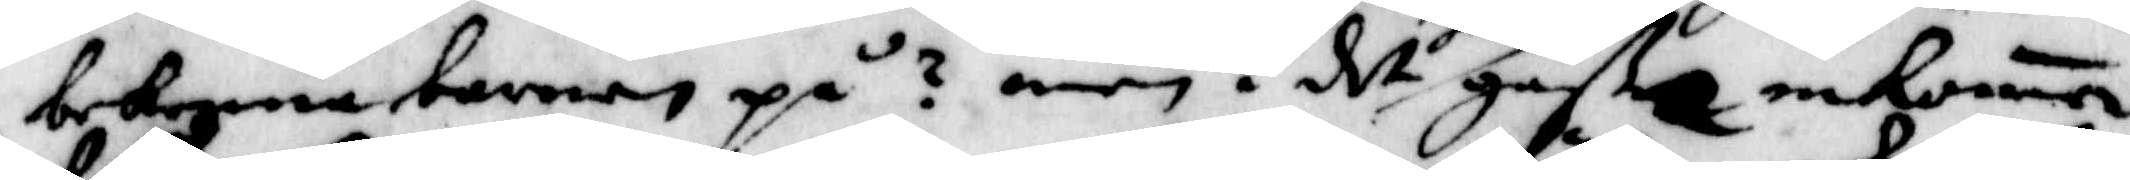bekenna barnen på? men i det hem gåße inkommo
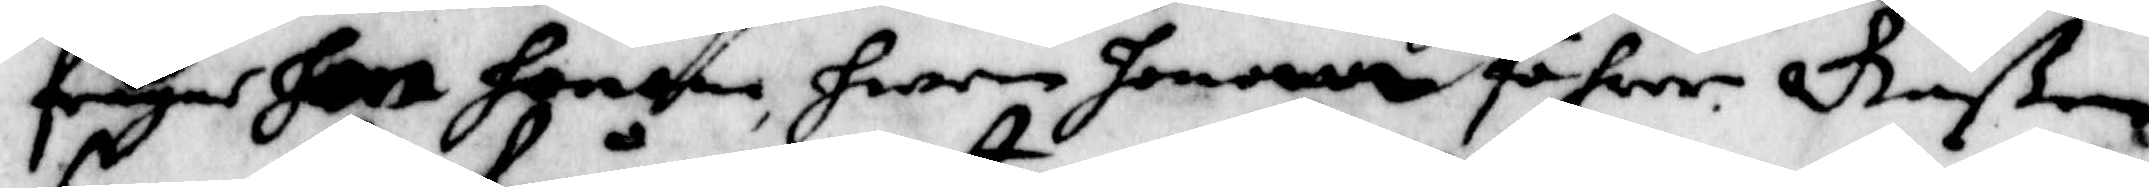frågar hon hono, hwem honom föhrer. Gåßen
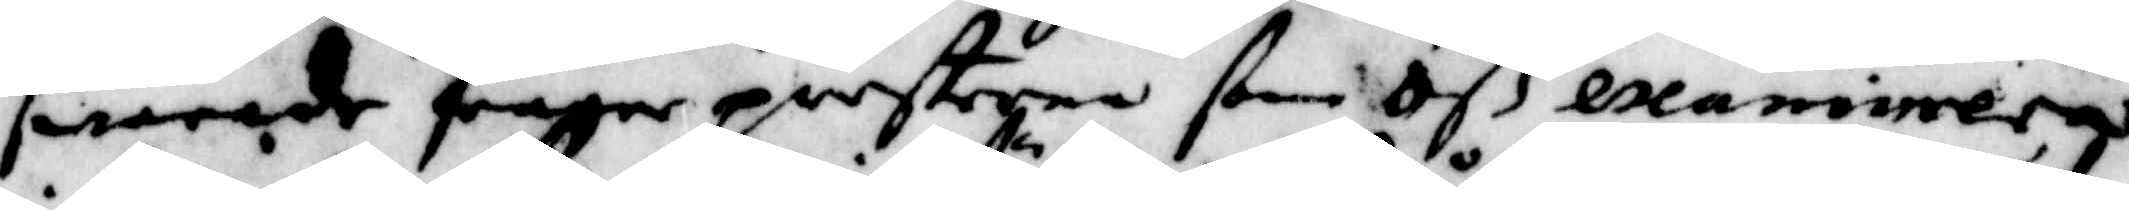swarade fråga presterna ßom oß examinerar
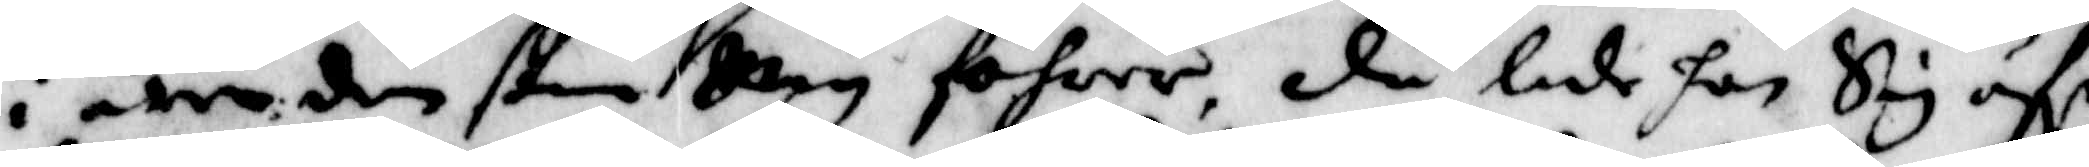i äre den ßom mig föhrer, då lade han Sig öfr
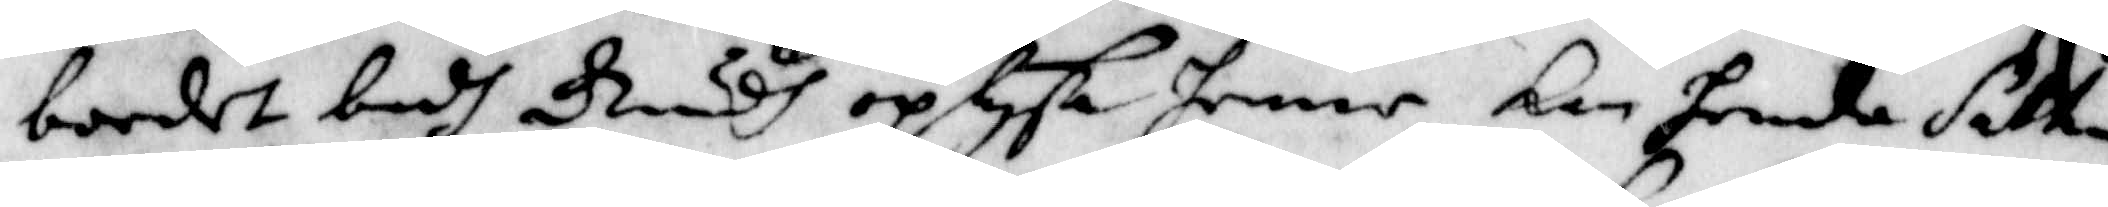bordet badh Gudh oplysa henne,Kan henda Sathan
